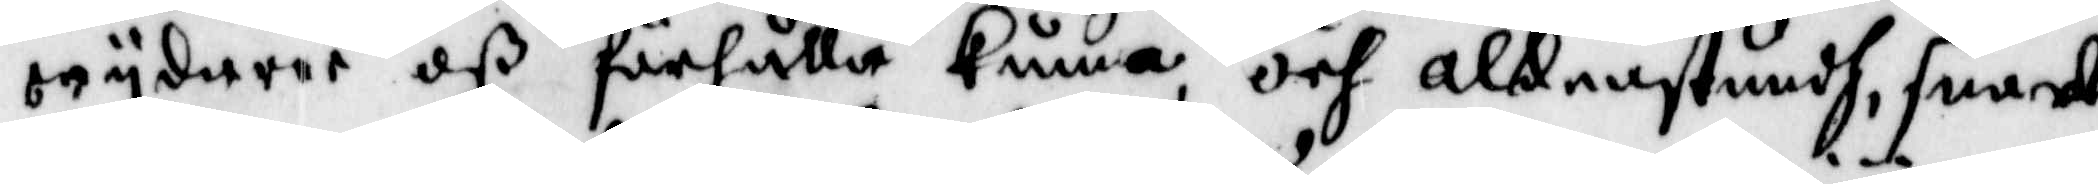wijdaree oß förhålla kunna, och aldenstundh, snardt
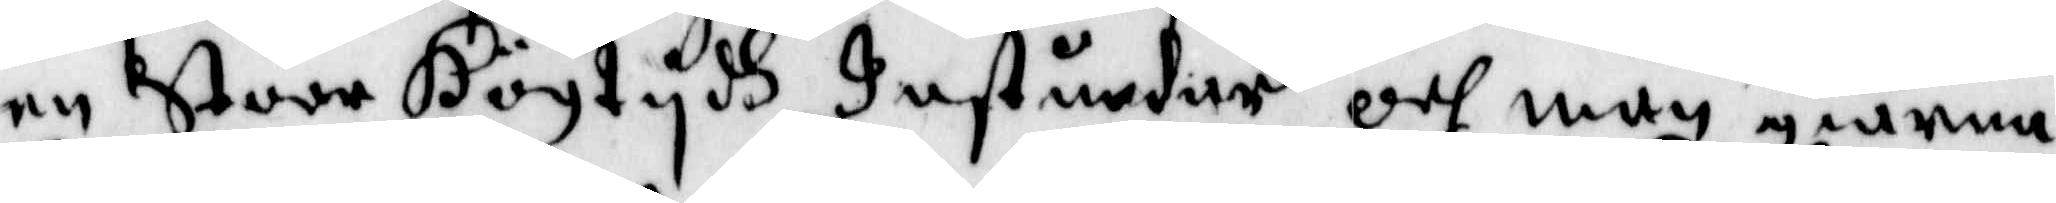en Stoor Högtijdh Instundar och man giärna
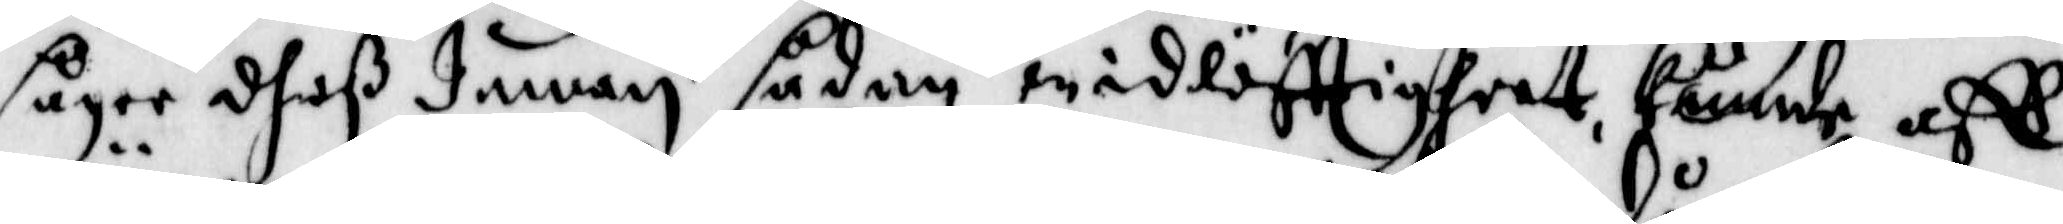säger dheß Innan sådan widlöfftigheet, kunde aff
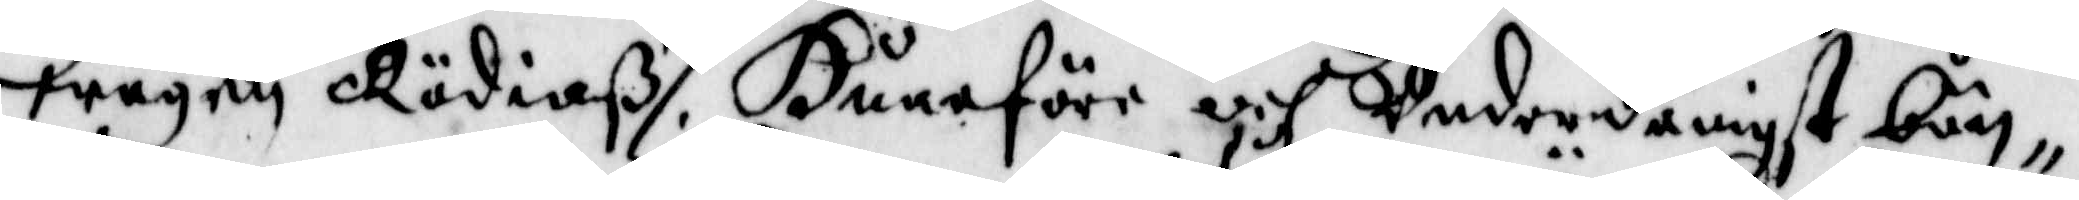wägen Rödiaß, Huarföre och Underdånigst bön¬
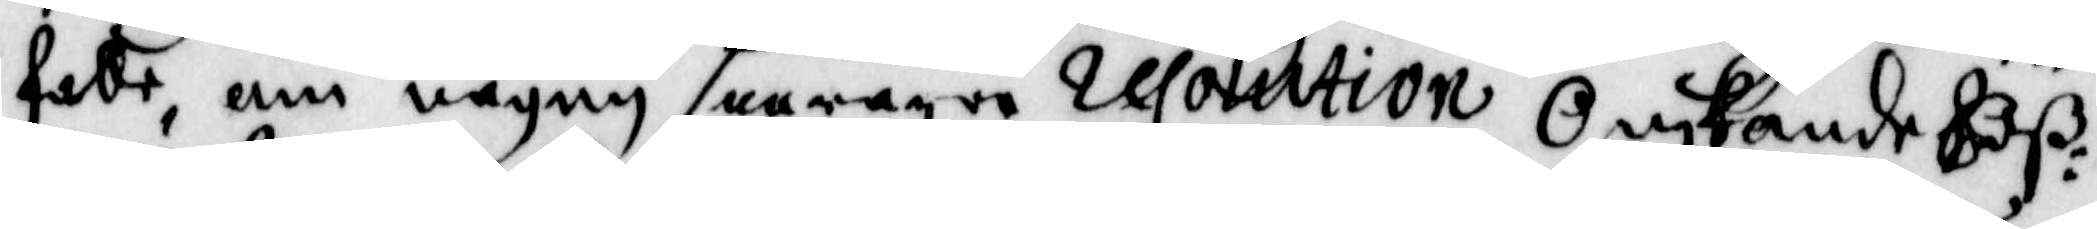falle, om någon snararre Resolution Önskande Oß:
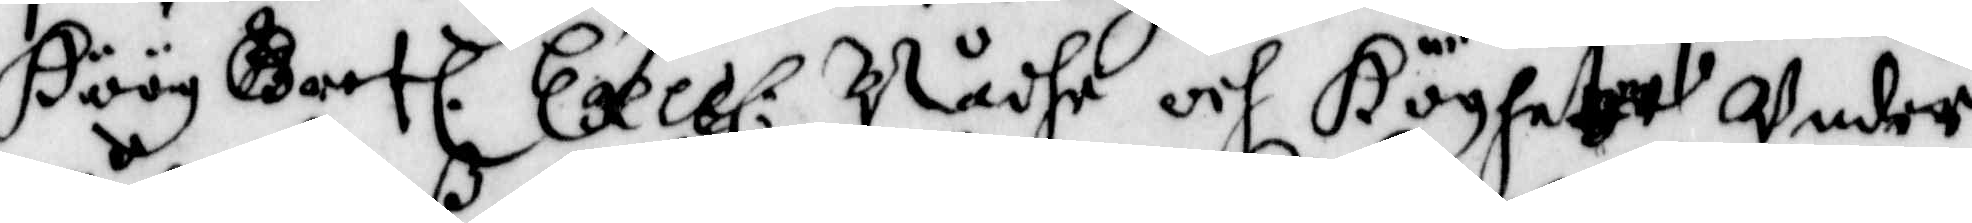Höög Gref. Exce: Nådhe och Höghet:et Under
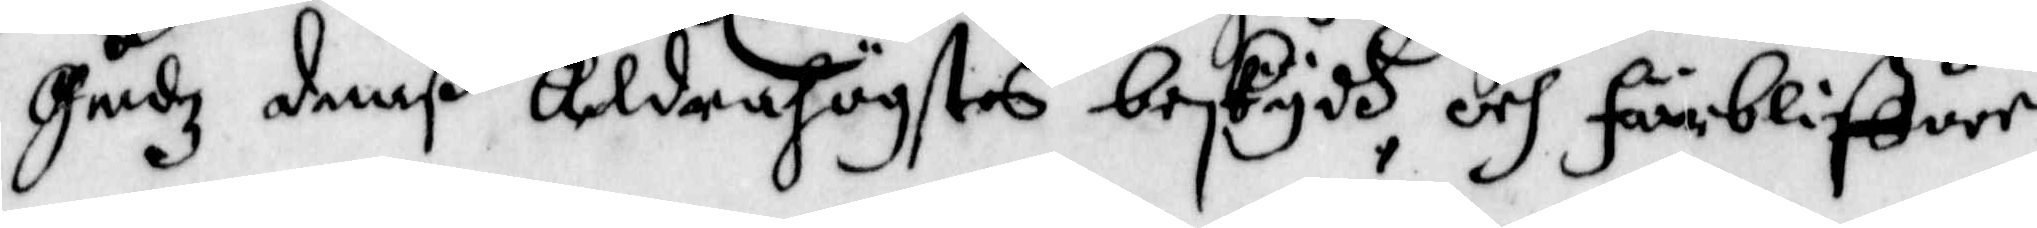Gudz demß Aldrahögstes beskydh, och Förbliffuer
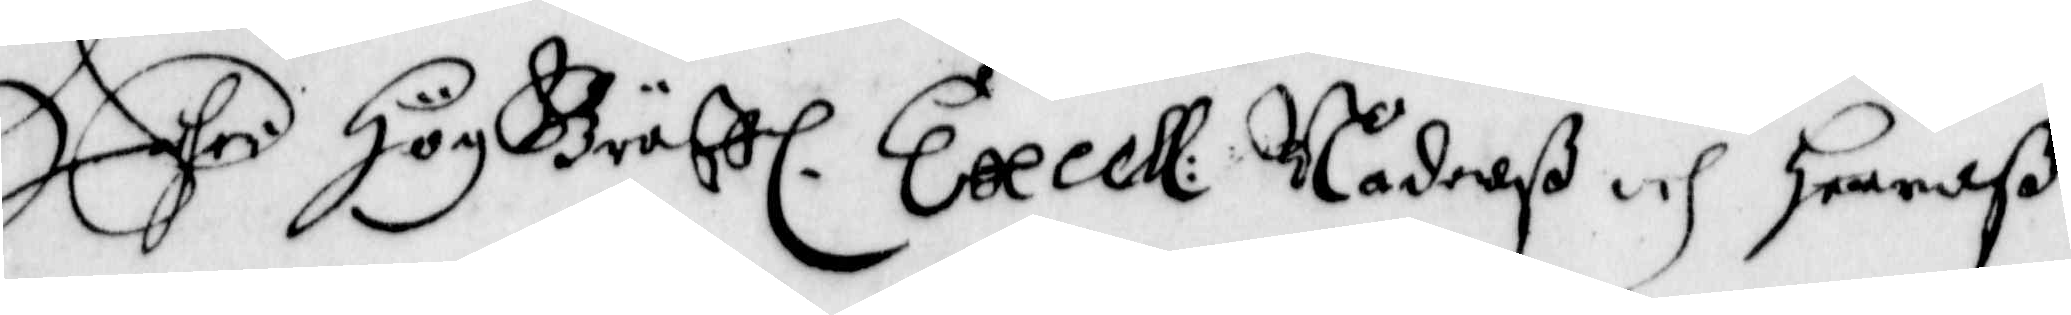Edher HögGräff. Excell: Nådenß och Herreß
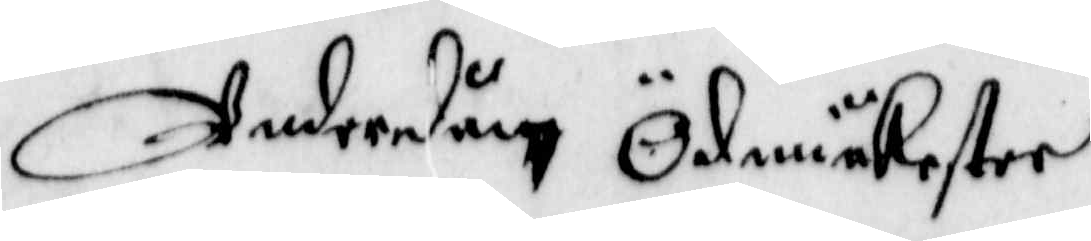Underdån Ödmiukester
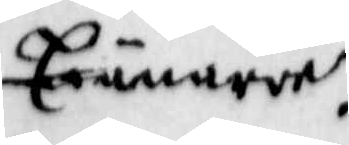Tiänare.
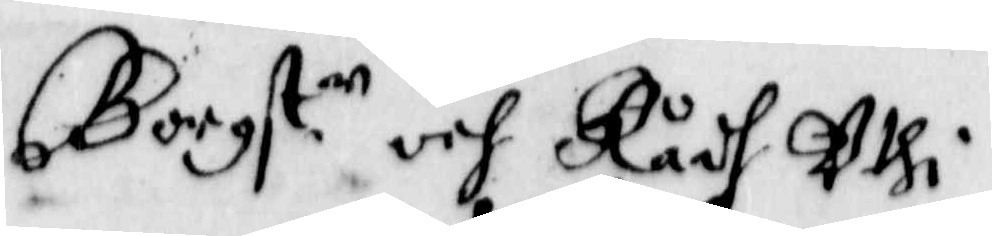Borgst:en och Rådh Uthi
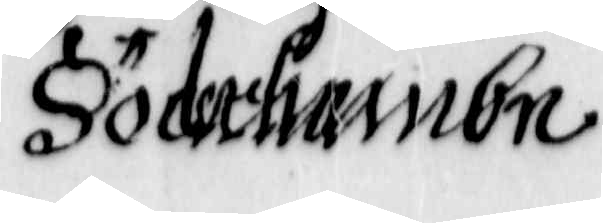Söderhambn
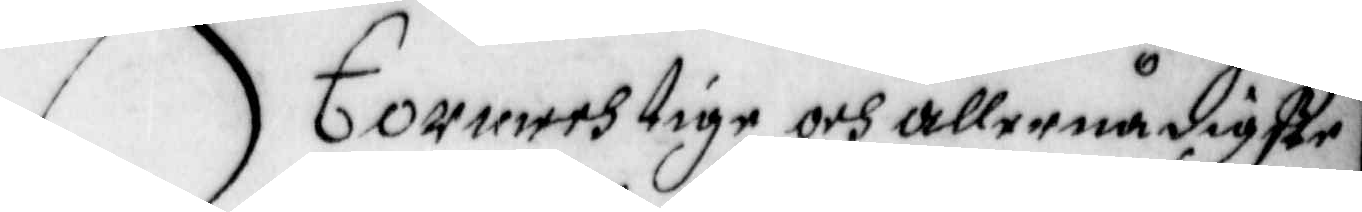Stormechtige och Allernådigste
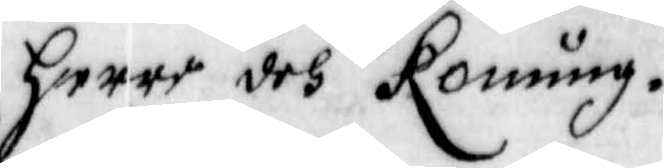Herre och Konung.
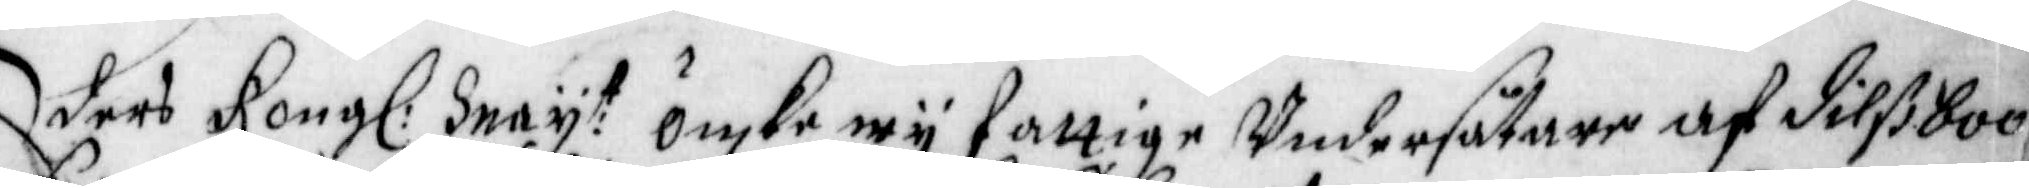Eders Kong: May:t önske wij fattige Undersåtare af Dilßboo
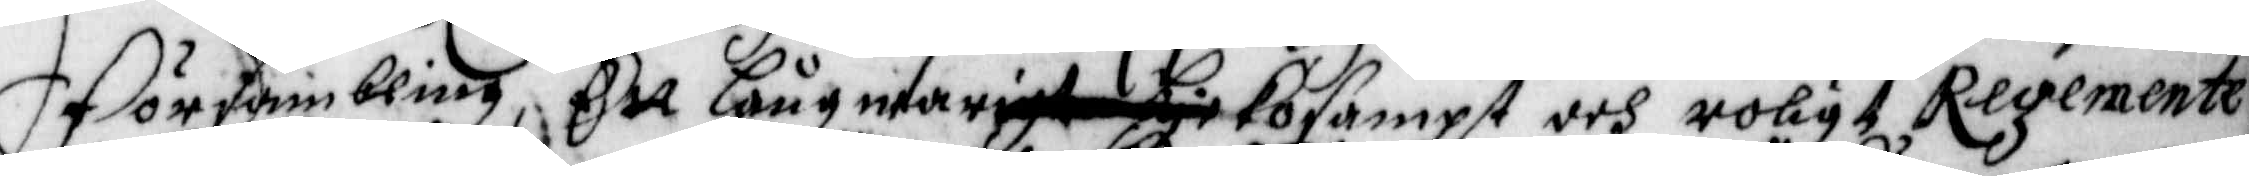Försambling, Ett Långwarigt Lyckosampt och roligt Regemente
